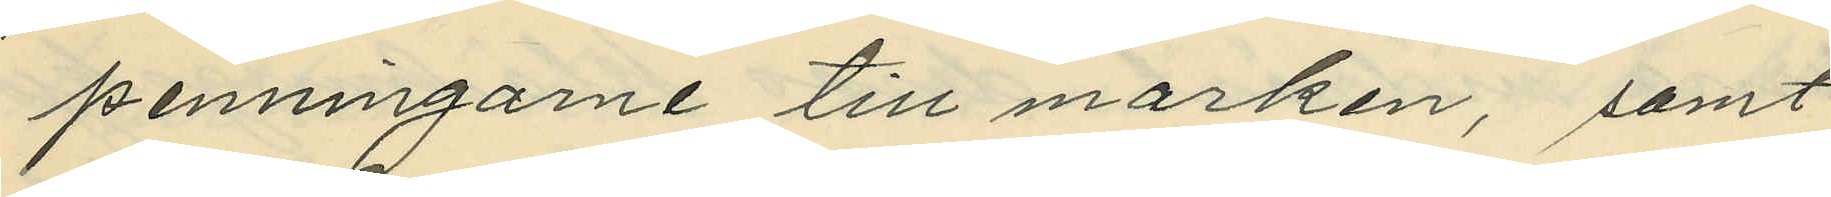penningarne till marken, samt
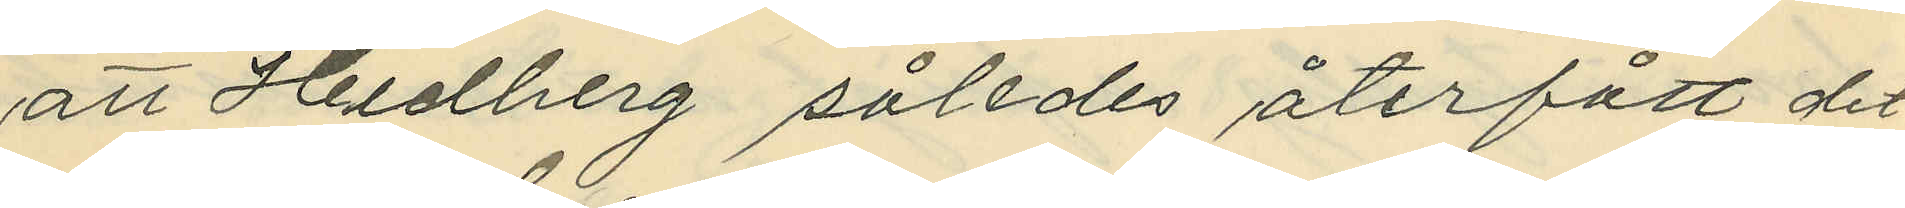att Hedberg således återfått det
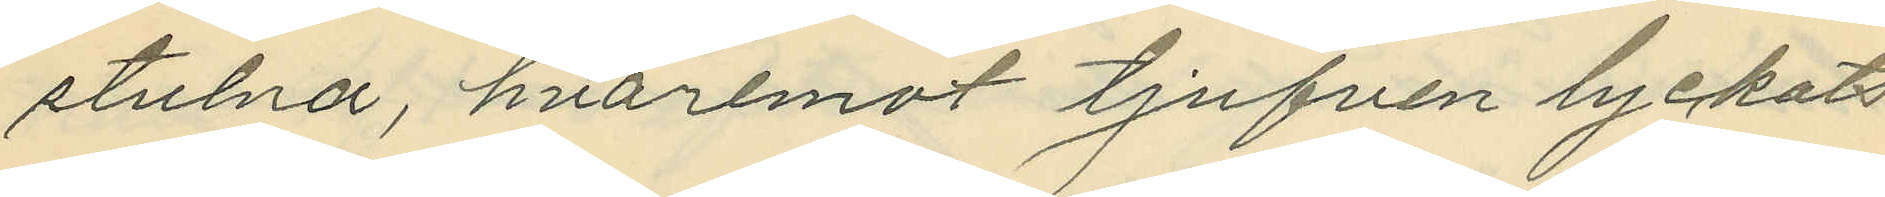stulna, hvaremot tjufven lyckats
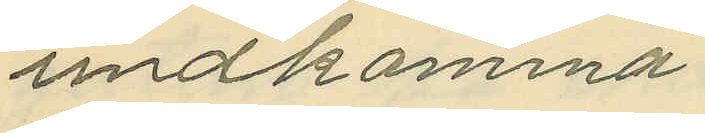undkomma.
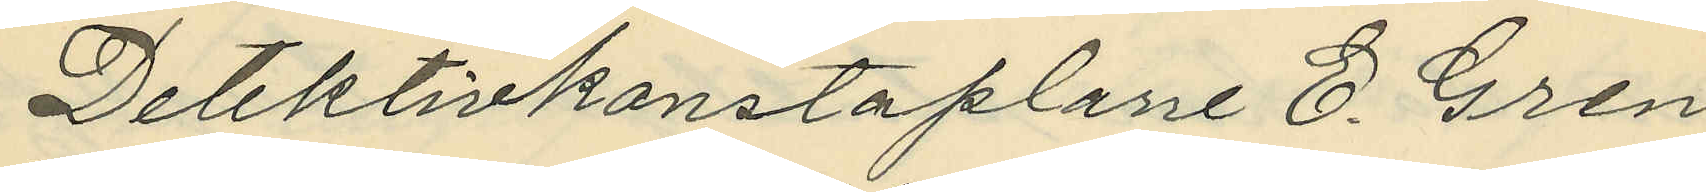Detektivkonstaplarre E. Gren
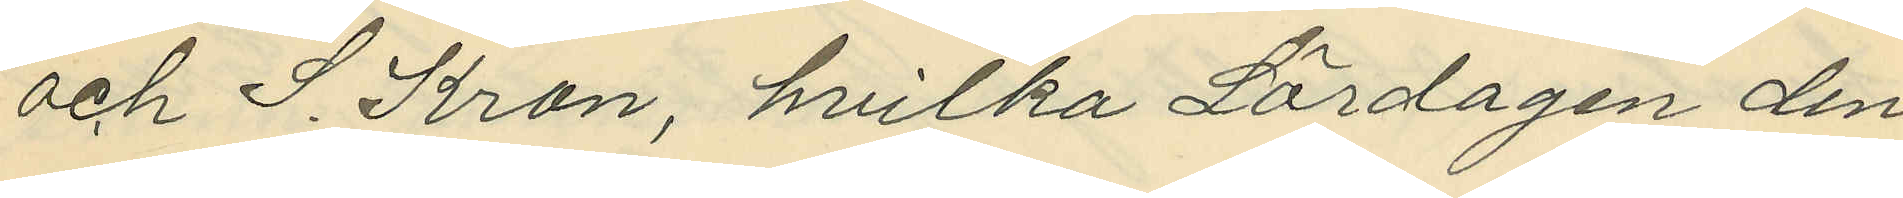och S. Kron, hvilka Lördagen den
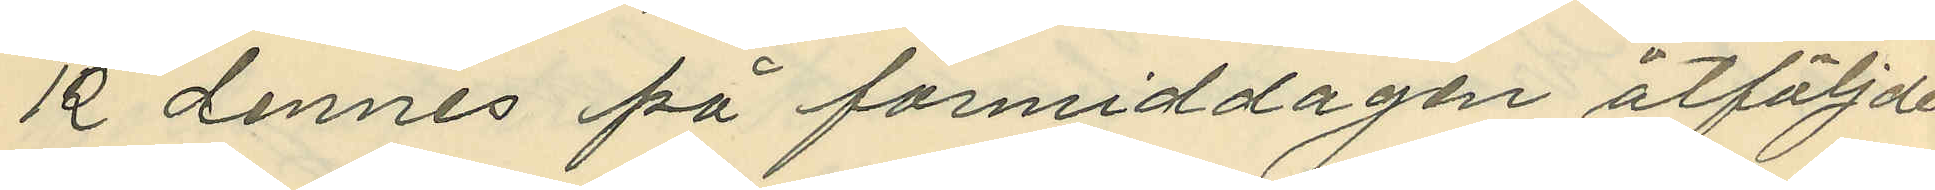12 dennes på förmiddagen åtföljde
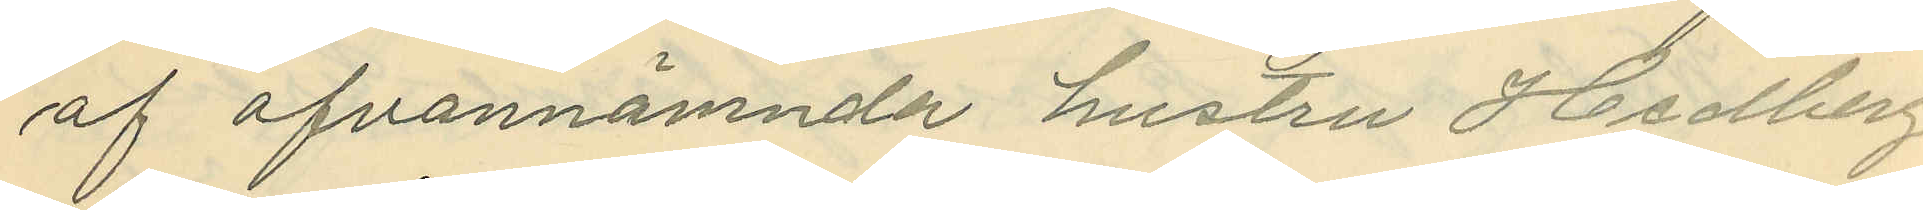af ofvannämnda hustru Hedberg
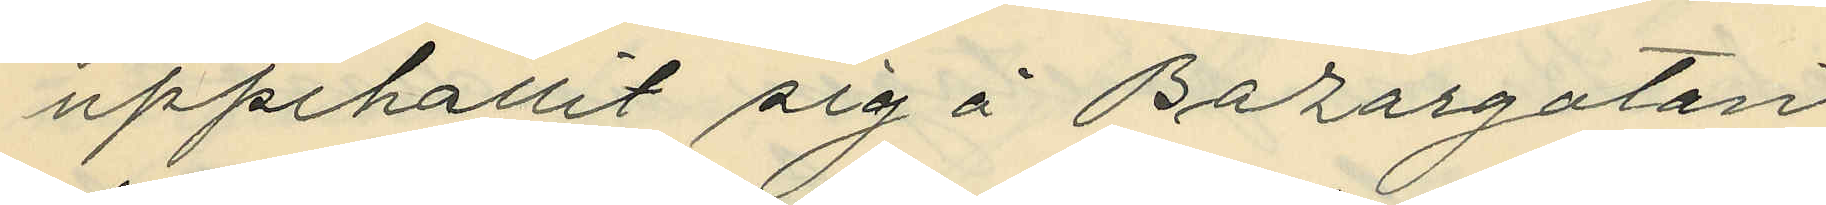uppehallit sig å Bazargatan
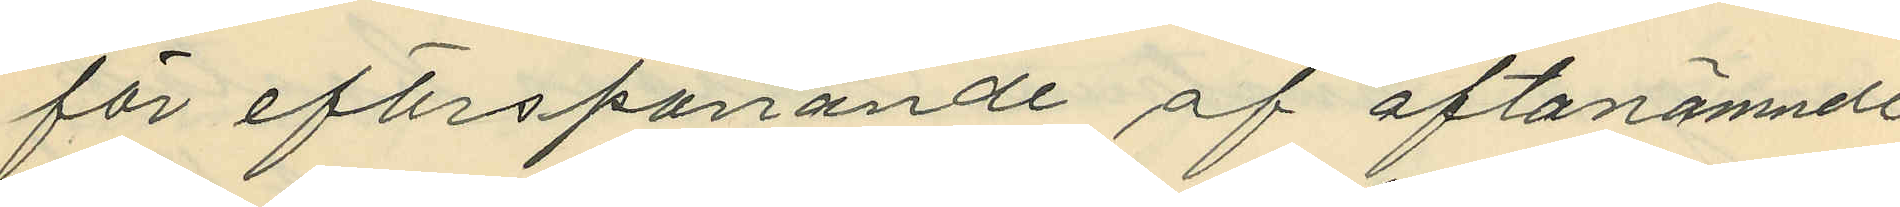för efterspanande af oftanämnde
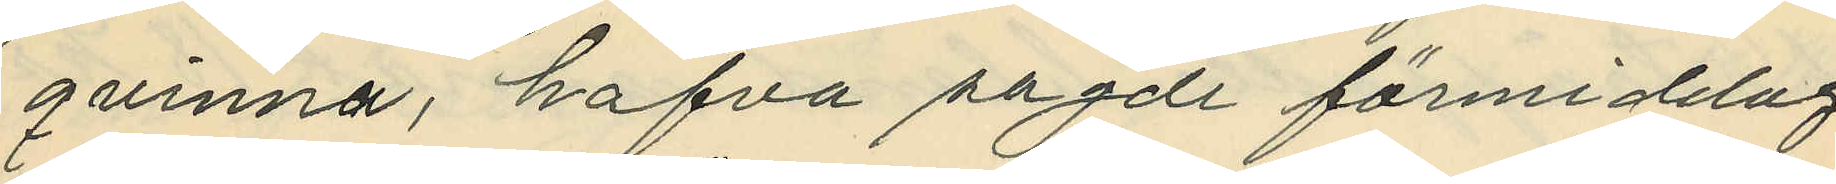qvinna, hafva sagde förmiddag
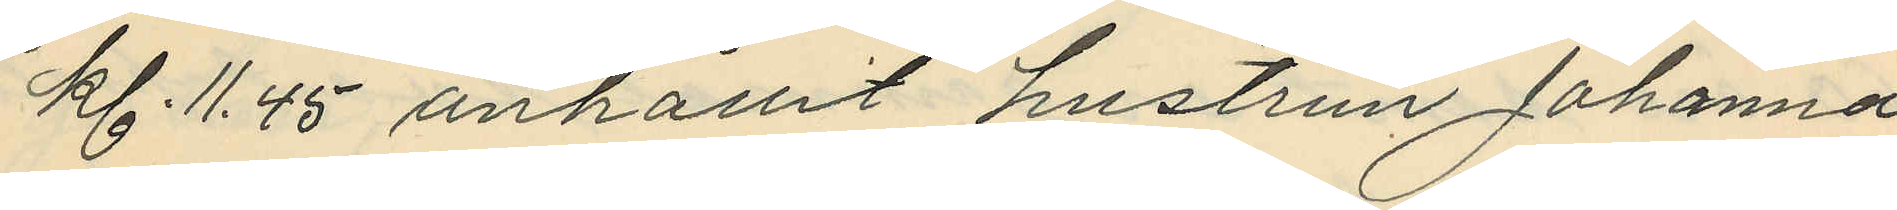kl. 11.45 anhållit hustrun Johanna
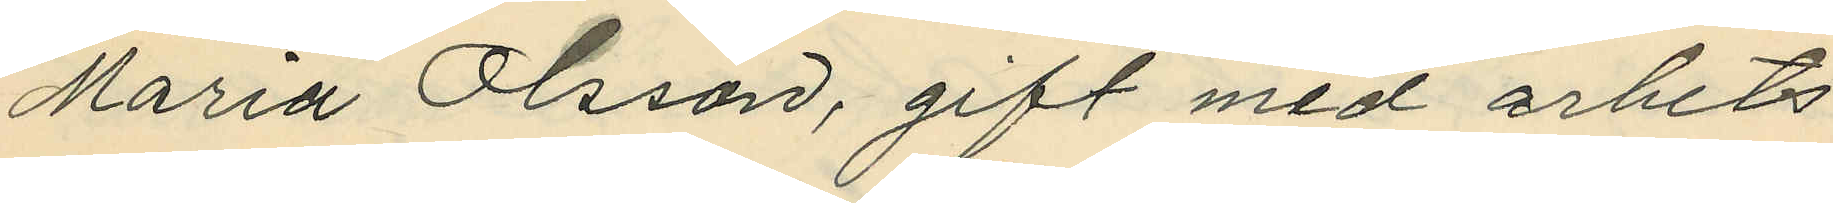Maria Olsson, gift med arbets¬
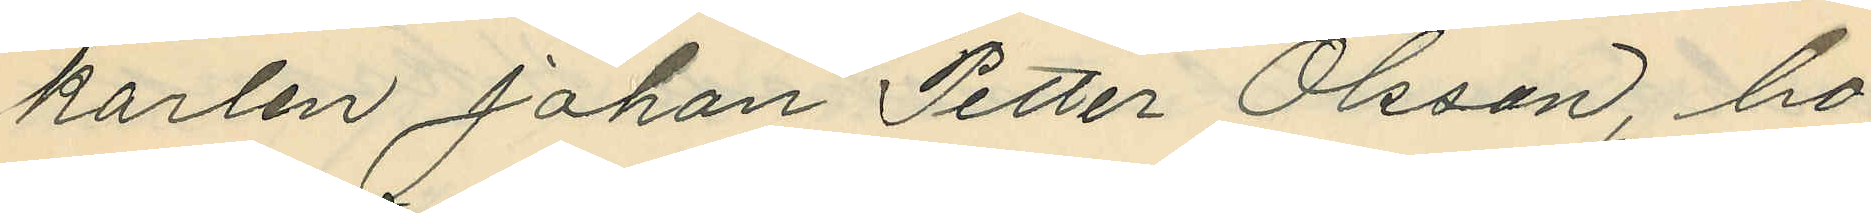karlen Johan Petter Olsson, bo¬
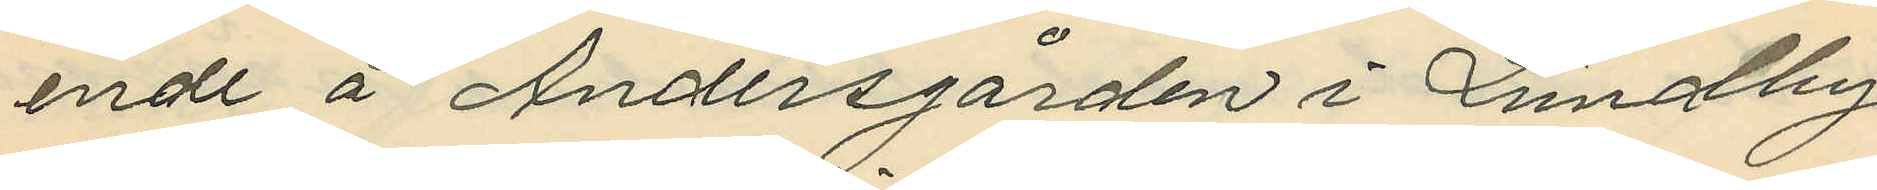ende å Andersgården i Lundby
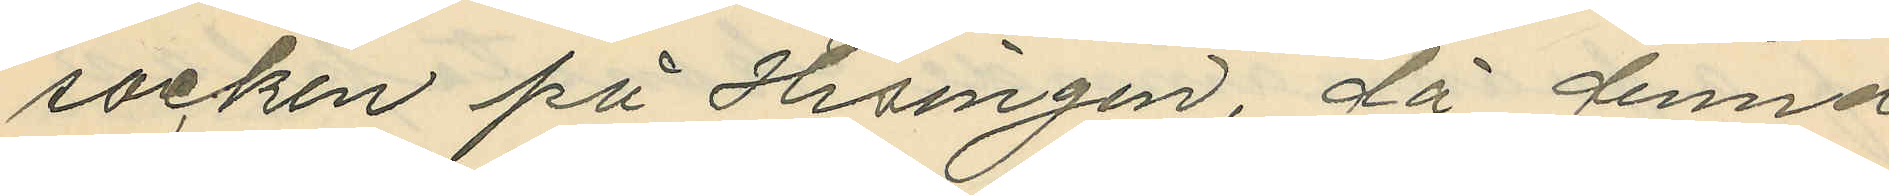socken på Hisingen, då denna
